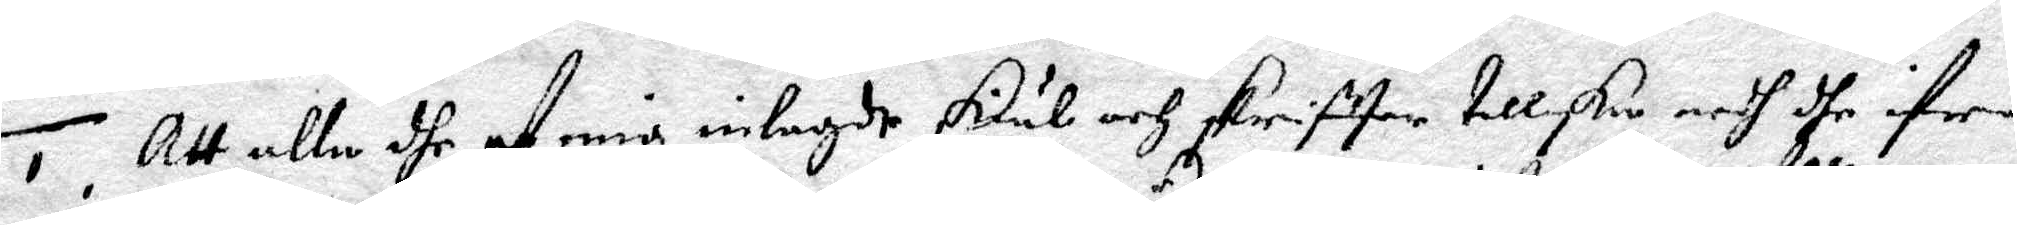1. Att alle dhe af mig inlagde skiäl och skrifter tillske medh dhe ifrån
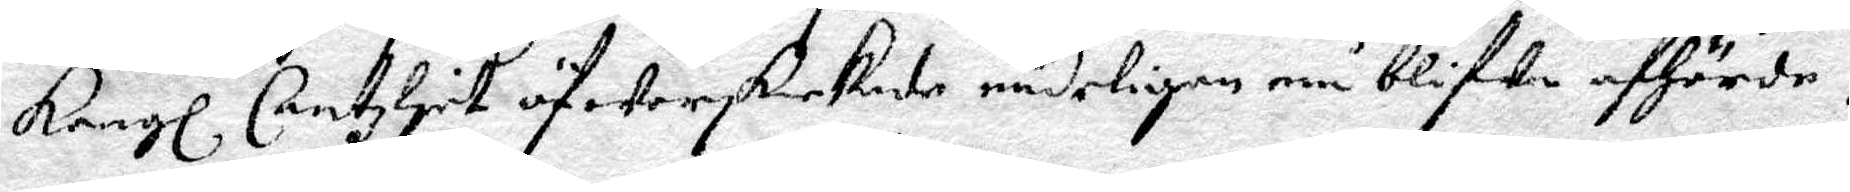Kongl Cantzlyet öfwerskickade nådeligen må blifwa afhörde.
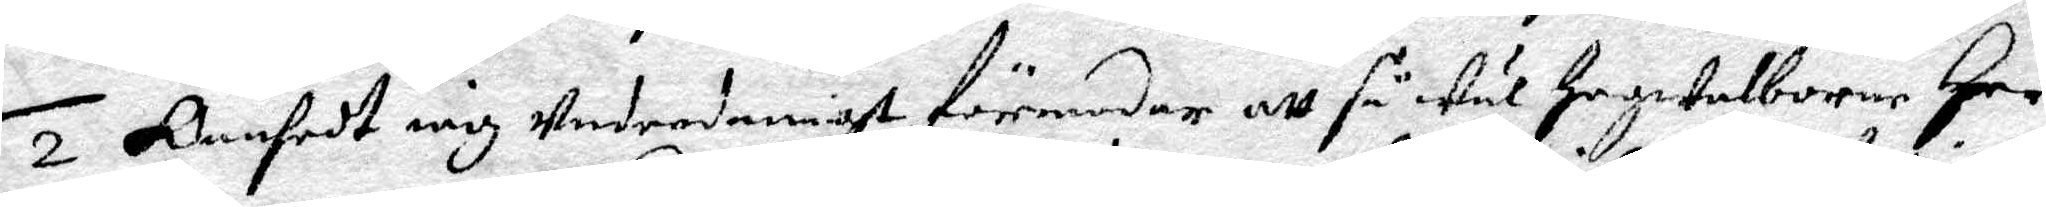2. Oansedt iag underdånigst förmodar att så wäl Högwelborne Herr
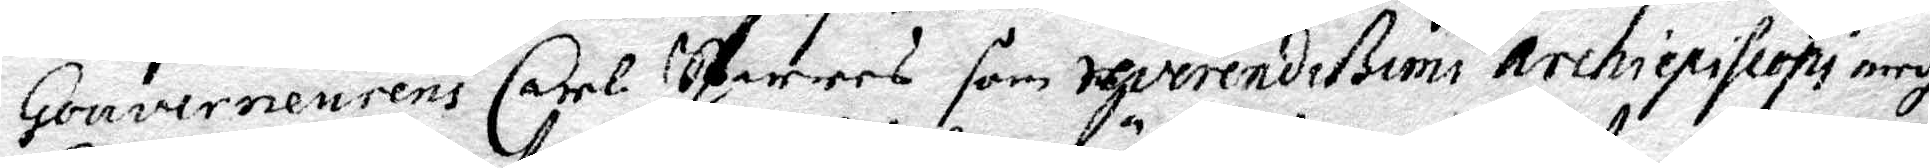Gouverneurens Carl Sparres som reverendißumi archiepiscopi medh
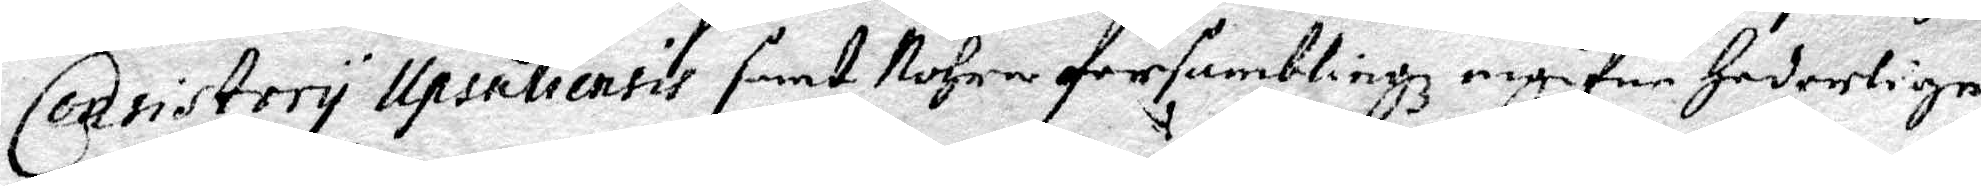Consistory Upsaliensis samt Nohra församblingz ingifne Hedelige
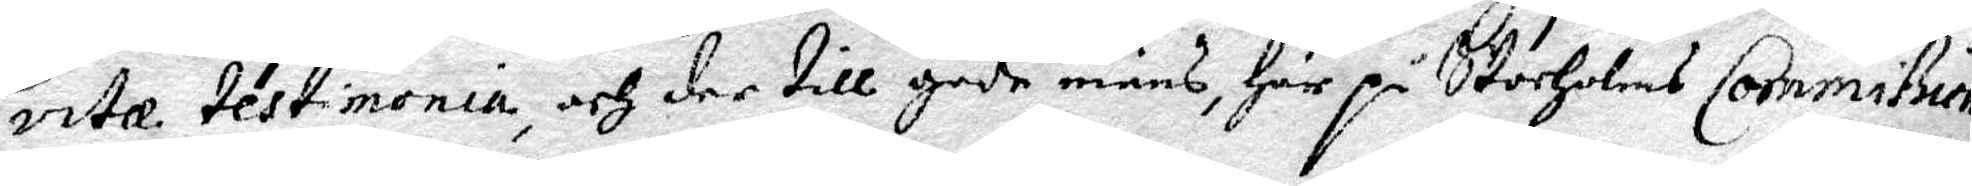vitæ testimonia, ch der till gode mäns, Här på Stocholms Commißion
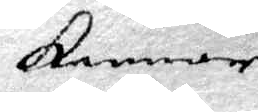kommer
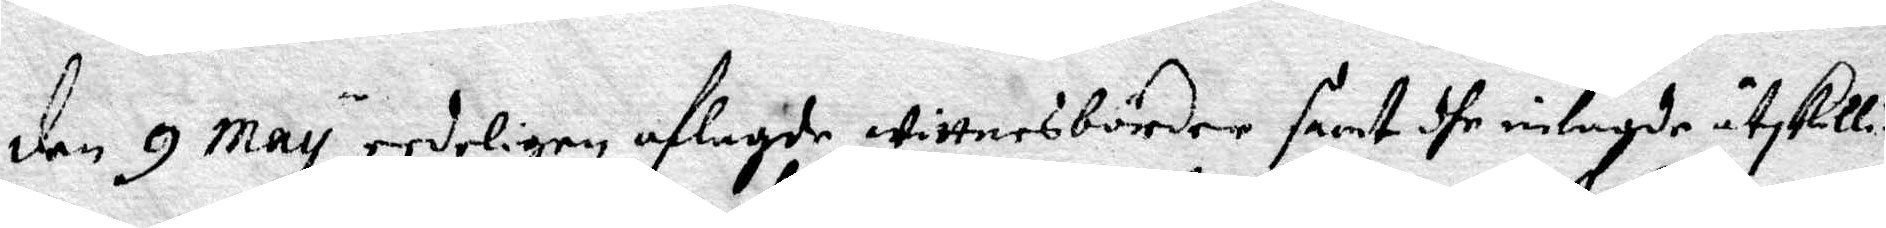den 9 May redeligen aflagde wittnesbörder samt dhe inlagde åtskilli¬
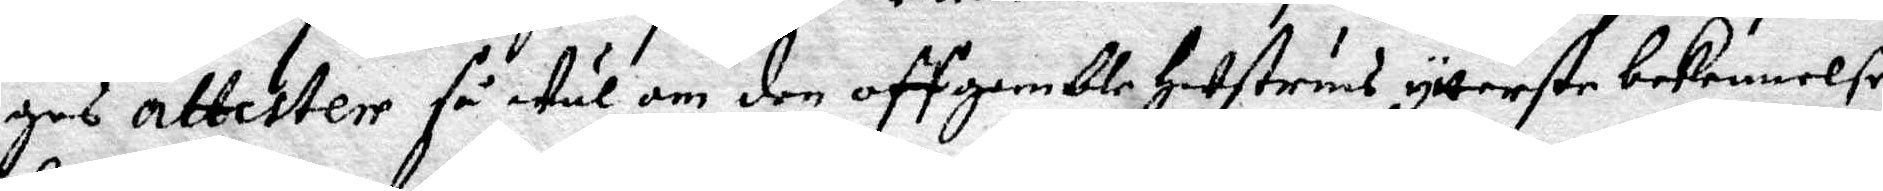ges attester så wäl om den off gamble Hustruns ytterste bekennelse
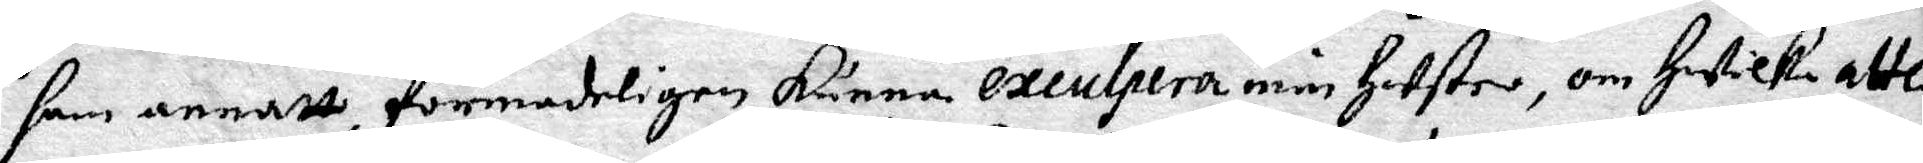som annatt, förmodeligen kunna exculpera min Hustro, om Hwilken atte¬
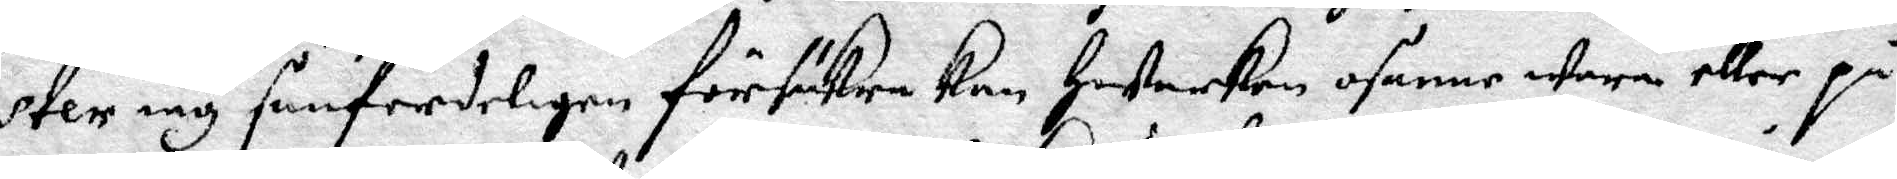ster iag sanferdeligen försäkra kan Hwarken osanne wara eller på
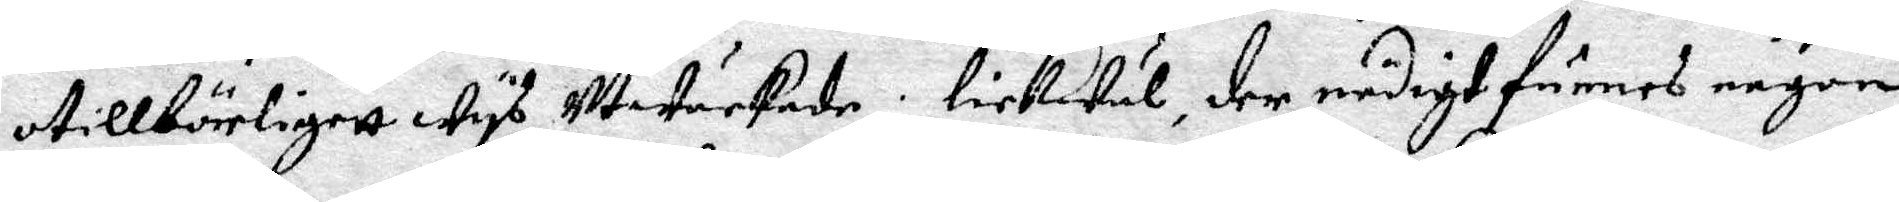otillbörekigett wys utwärkade; lickwäl, der nödigt funnes någon
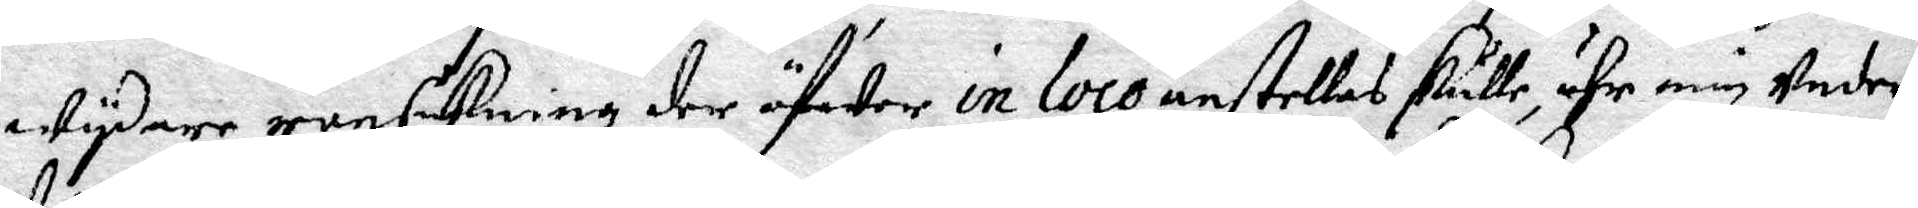wydare ransakning der öfwer in loco anstellas skulle, ähr min under¬
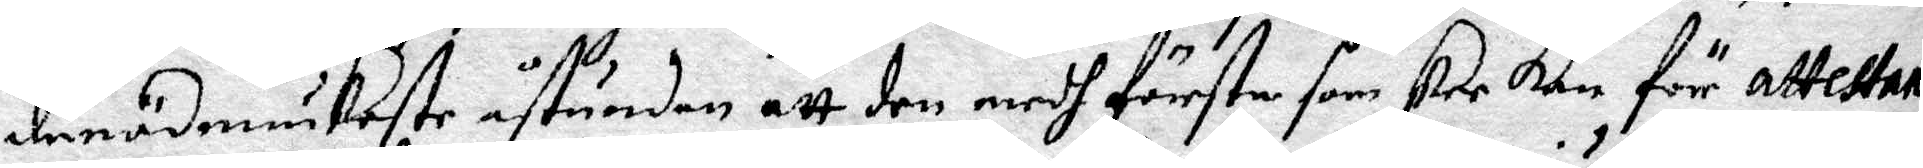dånödmiukaste åstundan att den medh förste som ske kan för attestan¬
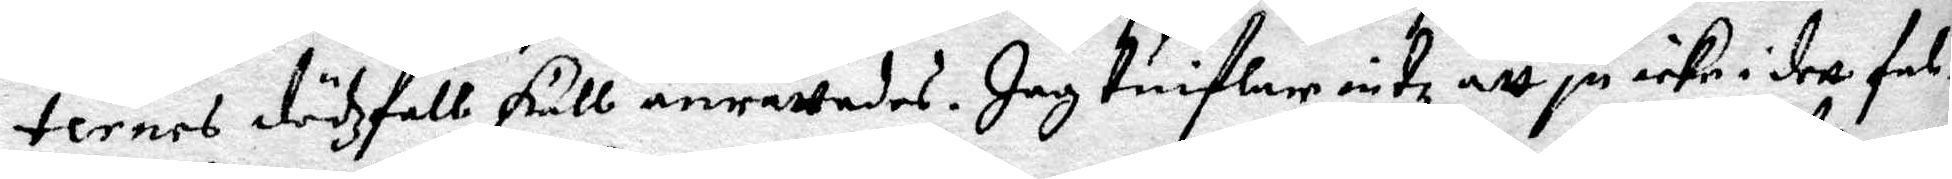ternes dözfall skull anrättades. Jag tuiflat intz att ju icke i dett fal¬
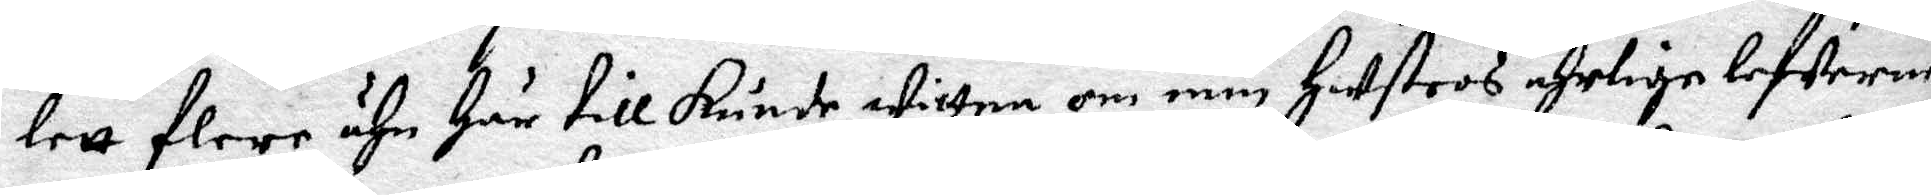lett flere ähn Här till kunde wittna om min Hustros ehrlige lefwerne
